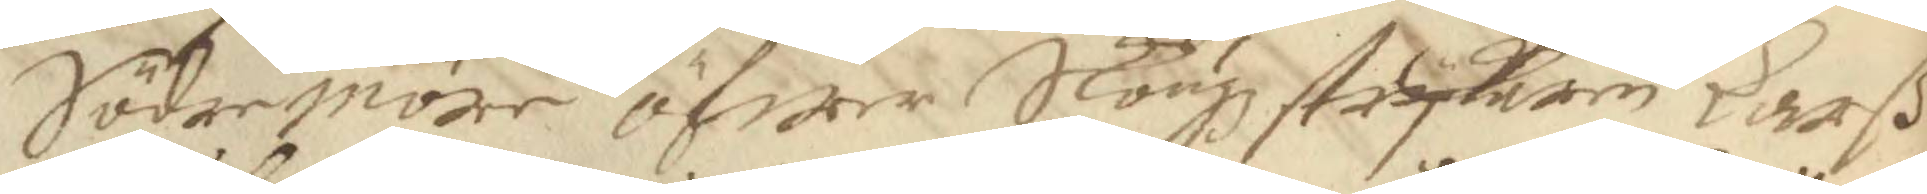Södermöre öfwer Skougzstrykaren Larß
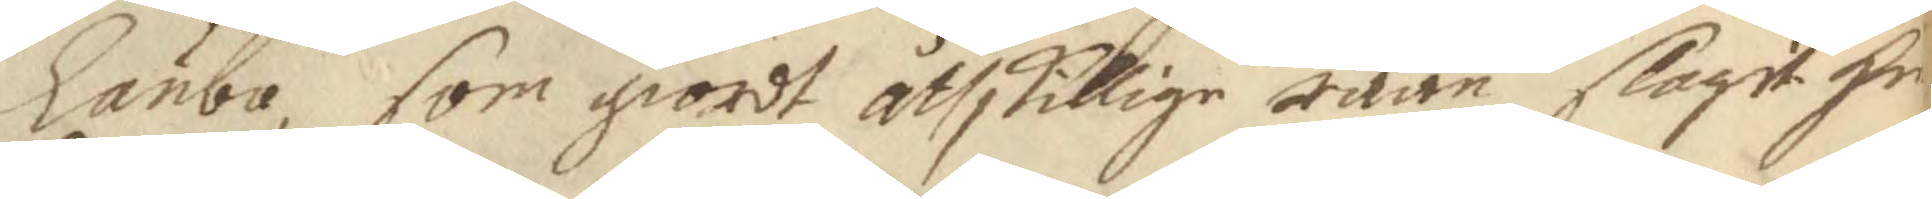Länba, som giordt åthskillige råån, slagit He¬
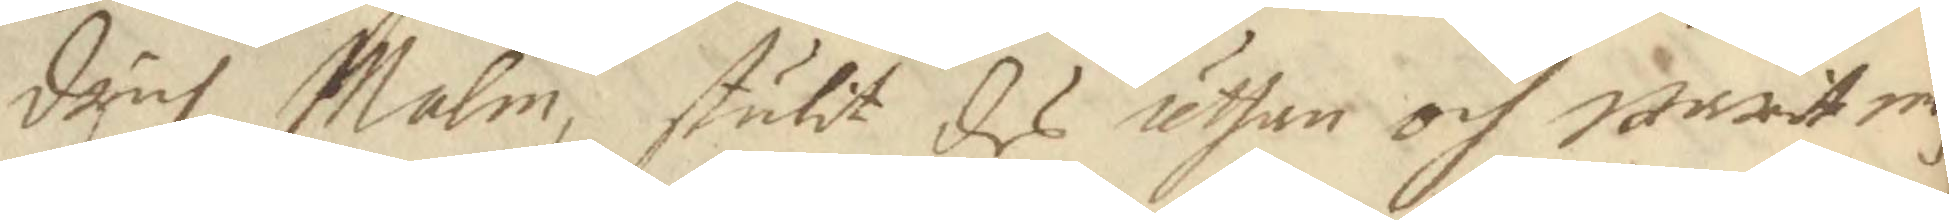drich Malm, stulit des uthan och warit m
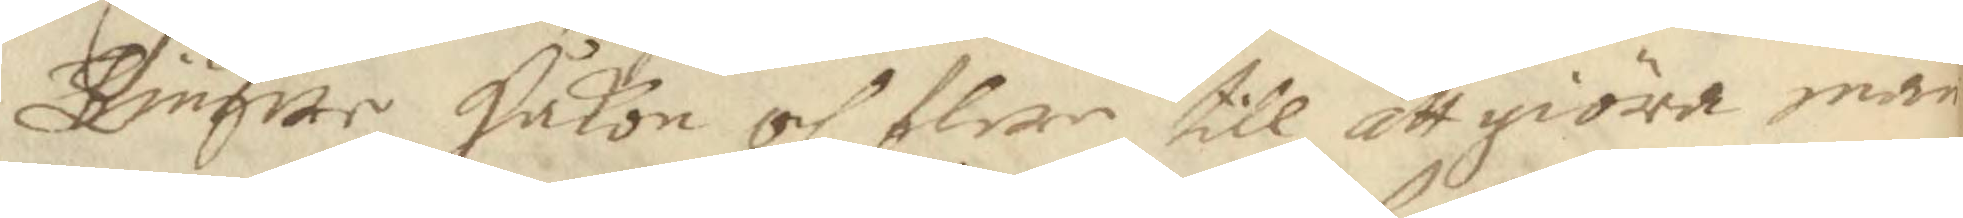Tiugwer Håkon och flere till att giöra mån¬
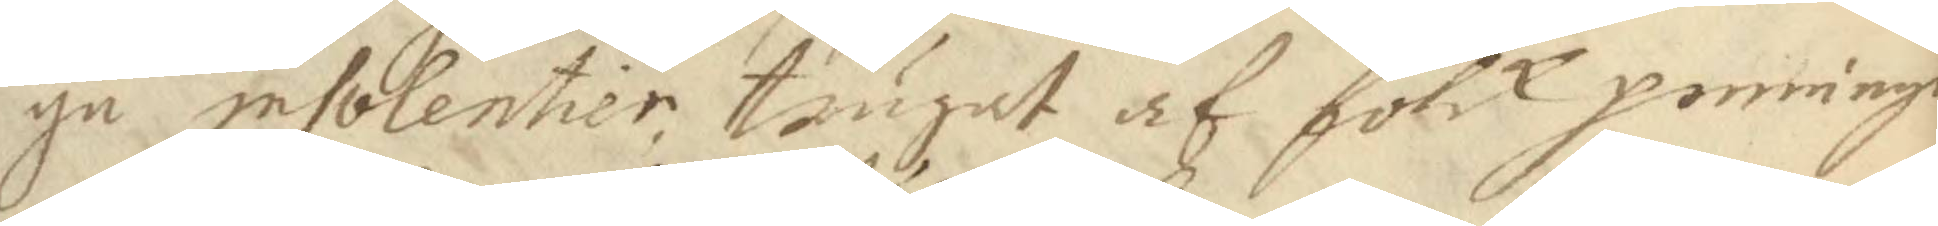ga insolentier trugat af folck penninge
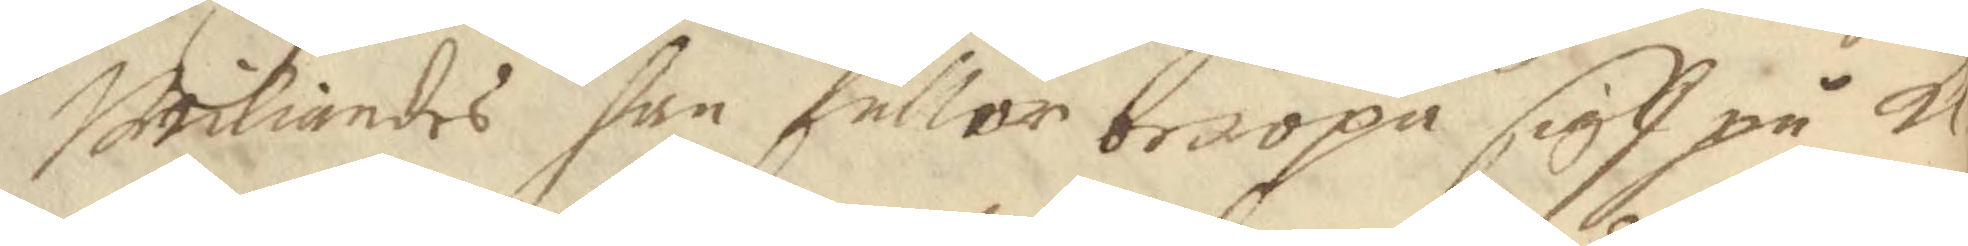wiliandes han fuller beropa sigh på K 
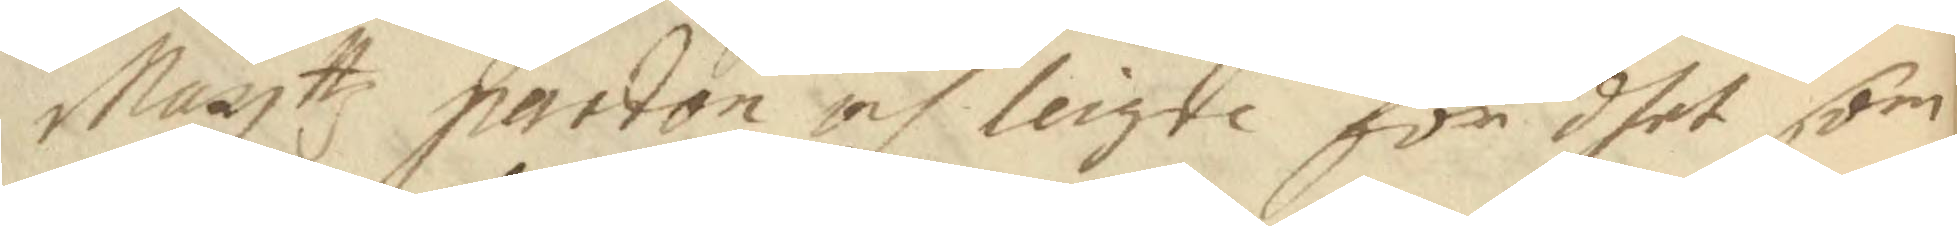Mayttz pardon och leigde för dhet som 
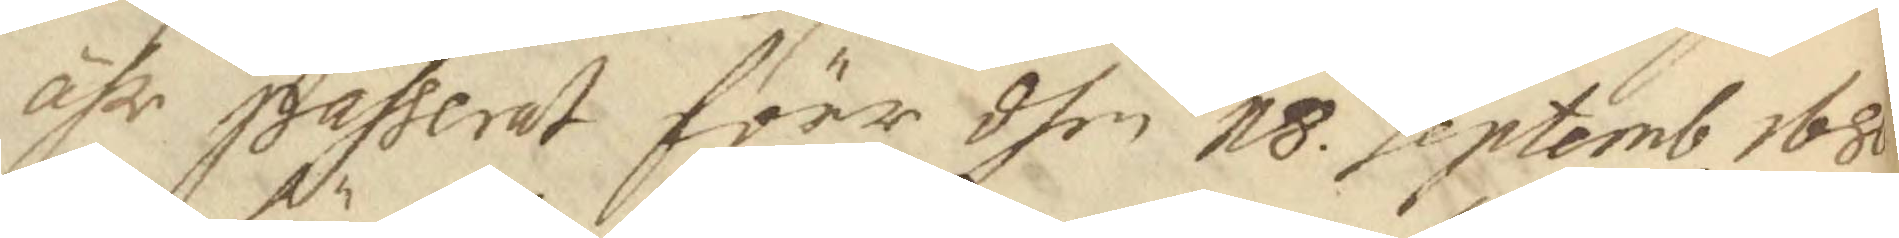ähr passerat förr dhen 18 Septemb 1680
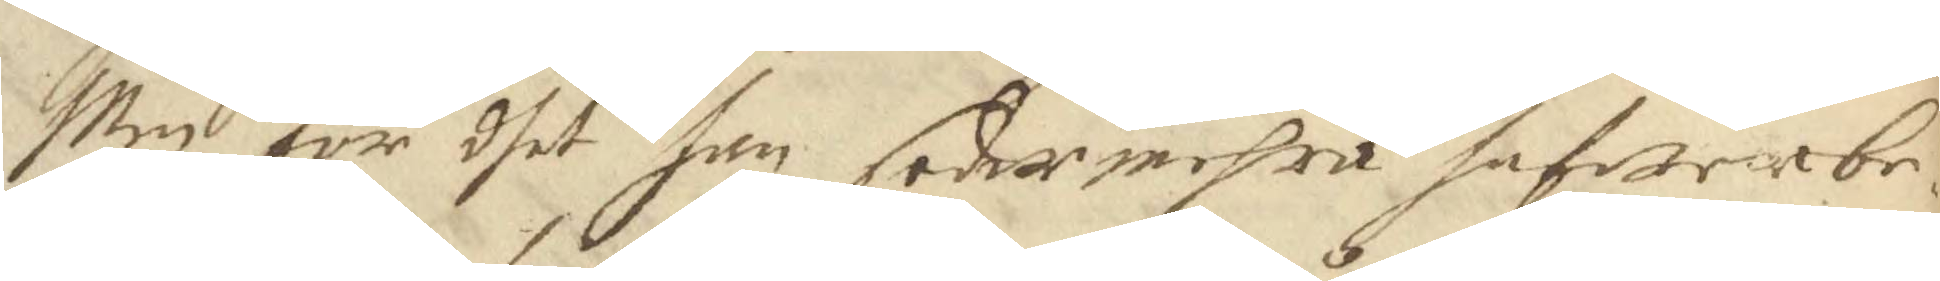Men för dhet han sedermehra hafwer be¬
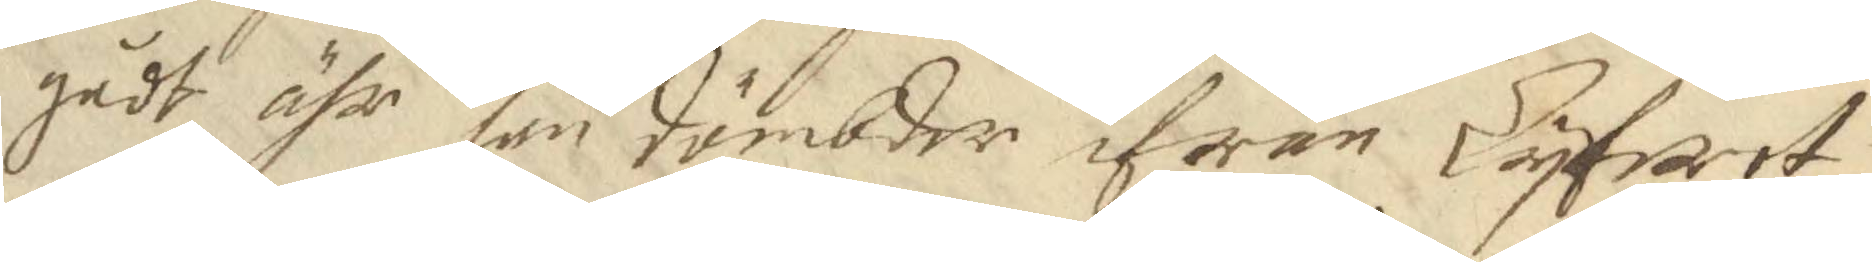gådt, ähr han dömbder ifrån Lyfwet
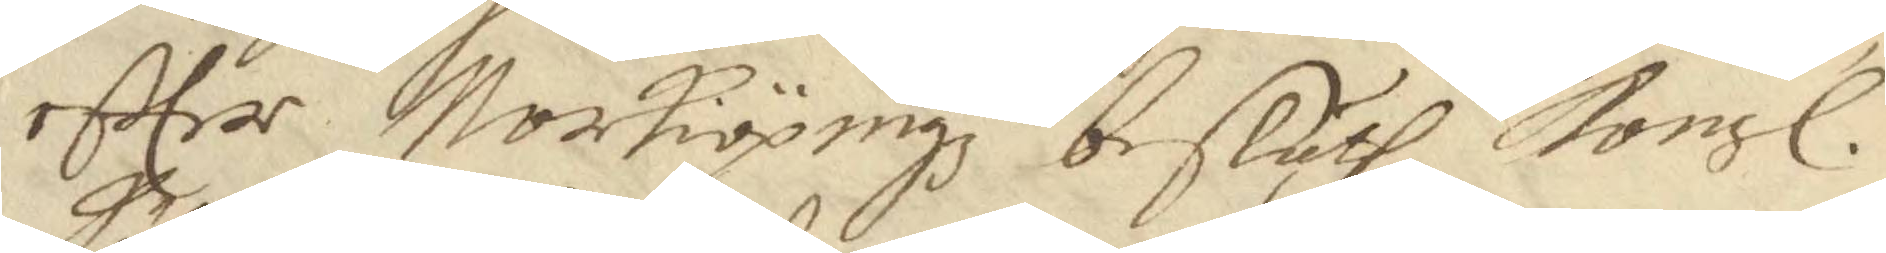effter Norkiöpingz besluth, Kongl. 
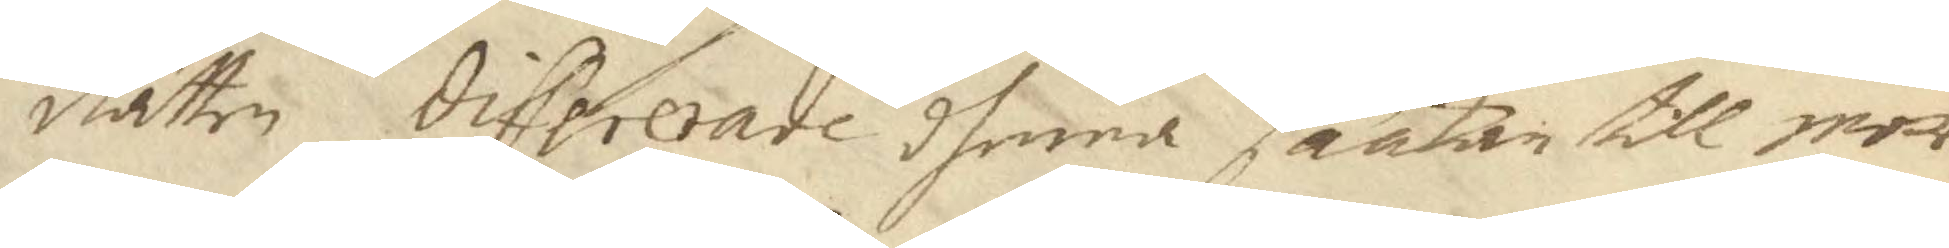Rätten differerade dhenne saakan till mor¬
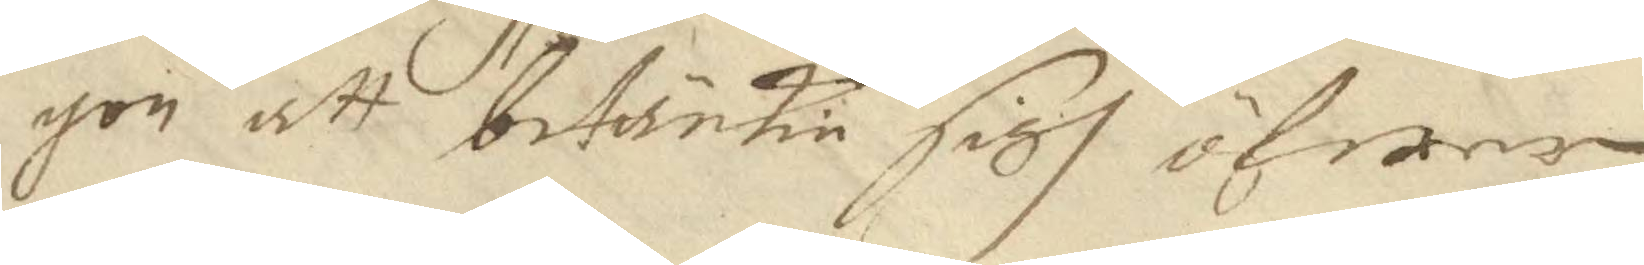gon att betänkie sigh öfwer
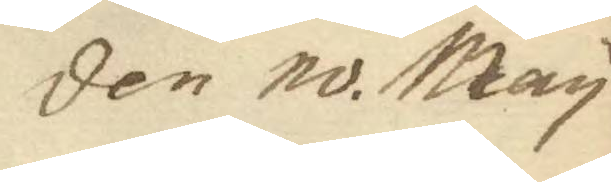den 10. May
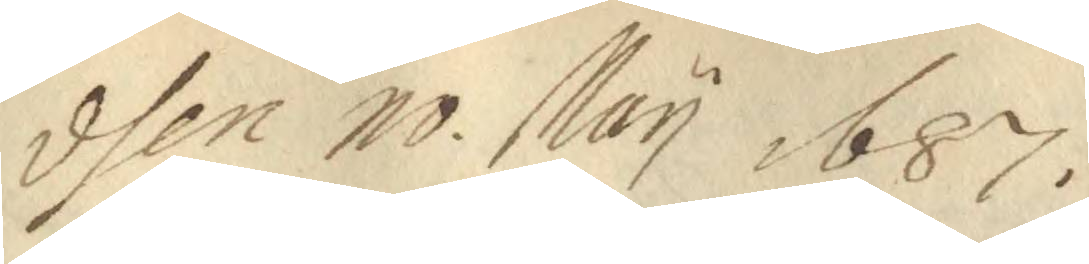dhen 10 May 1687.
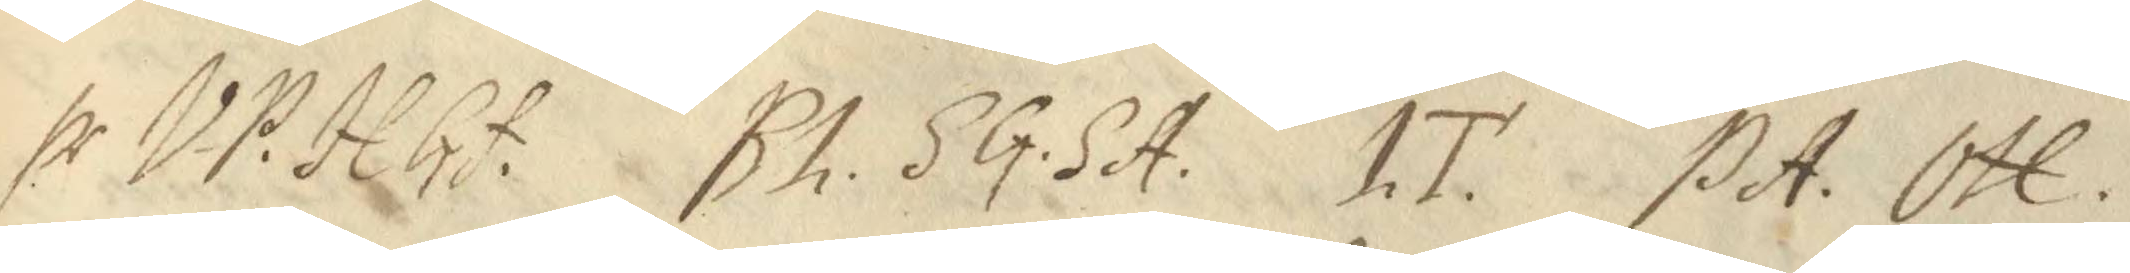hr VP. HGf. BL. SG. SA. LT. PA. OH.
